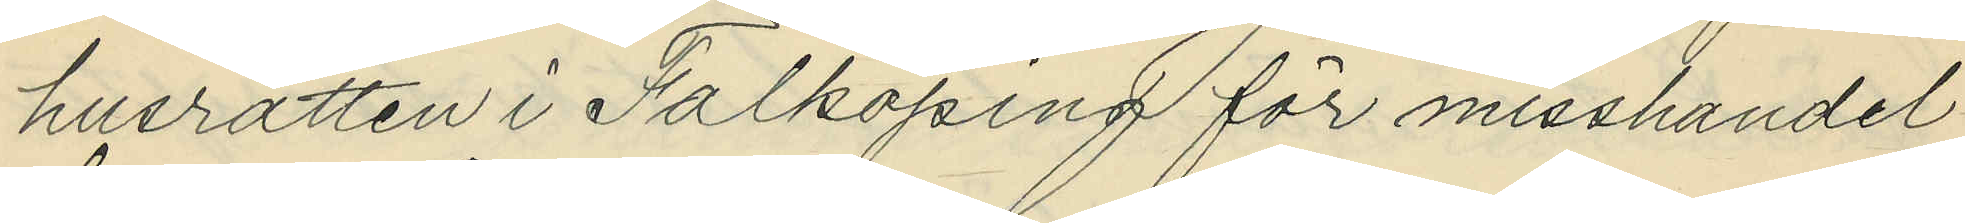husrätten i Falköping för misshandel
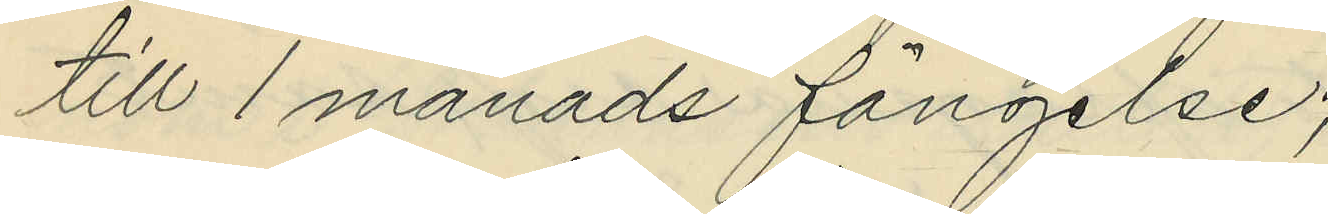till 1 månads fängelse;
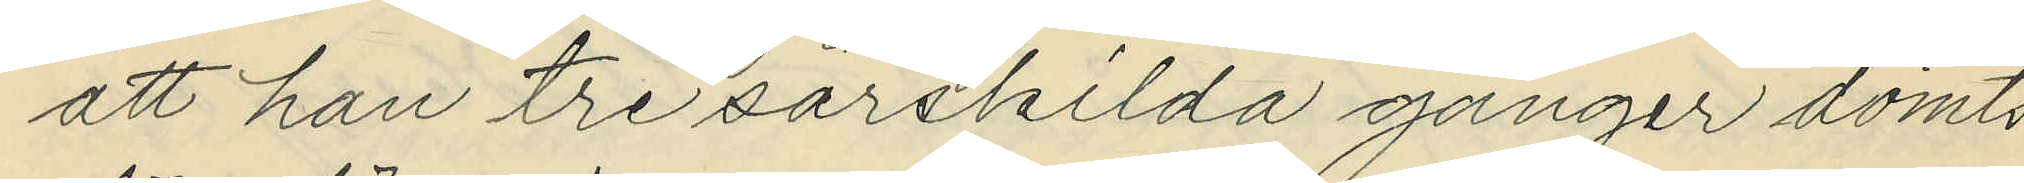att han tre särskilda gånger dömts
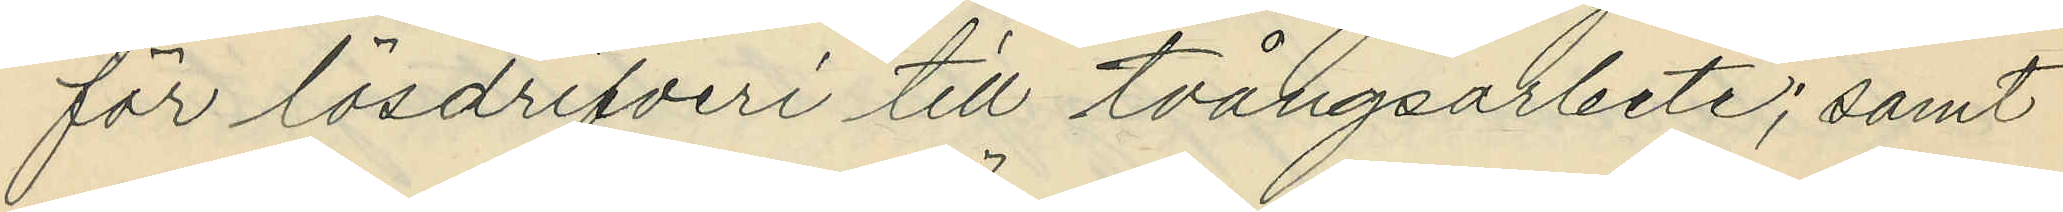för lösdrifveri till tvångsarbete; samt
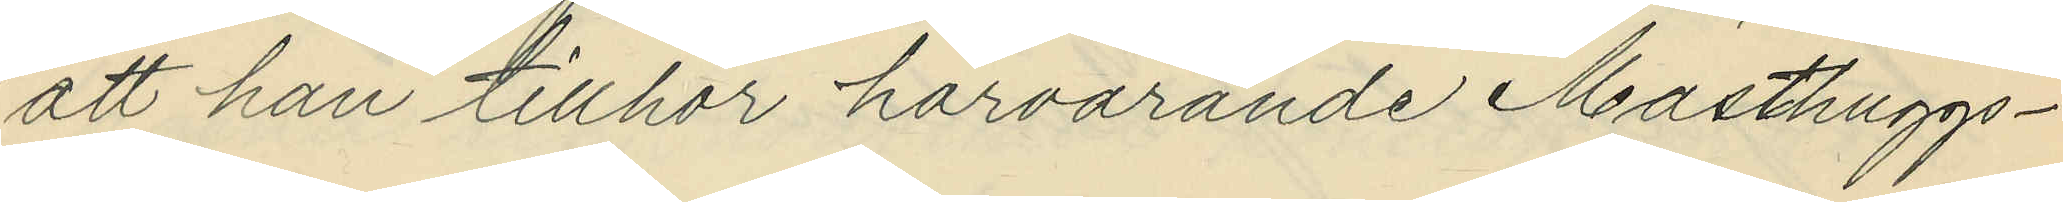att han tillhör härvarande Masthuggs¬
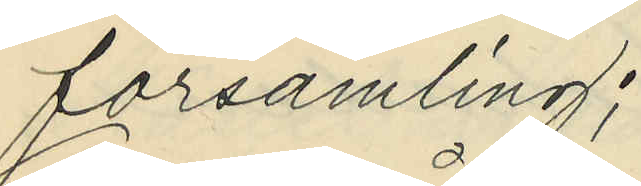församling;
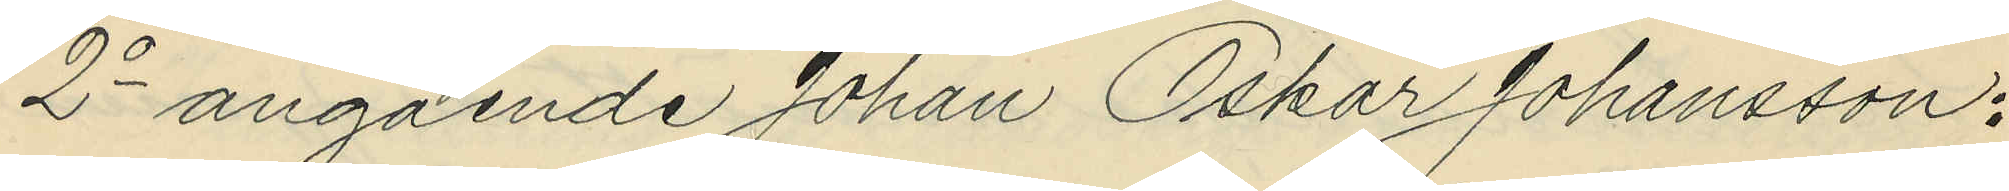2o angående Johan Oskar Johansson:
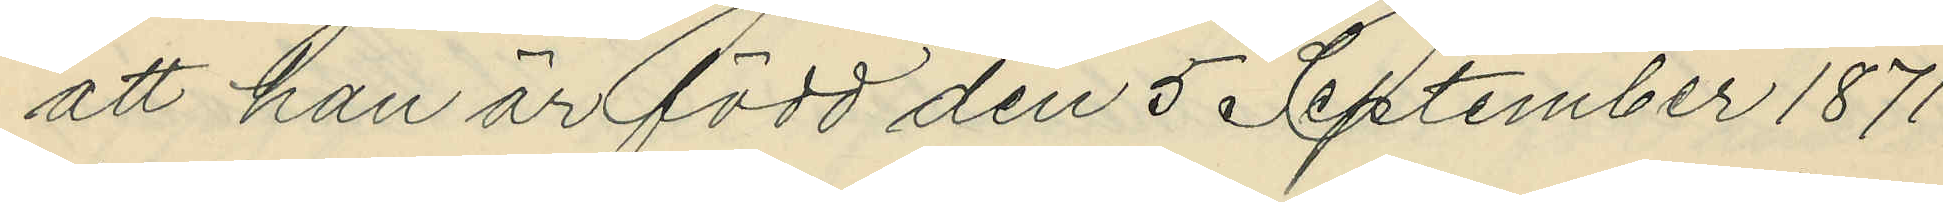att han är född den 5 September 1871
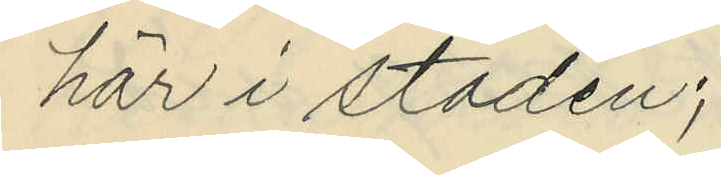här i staden;
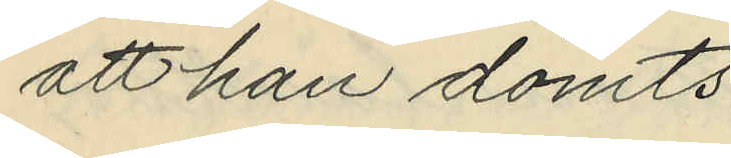att han dömts:
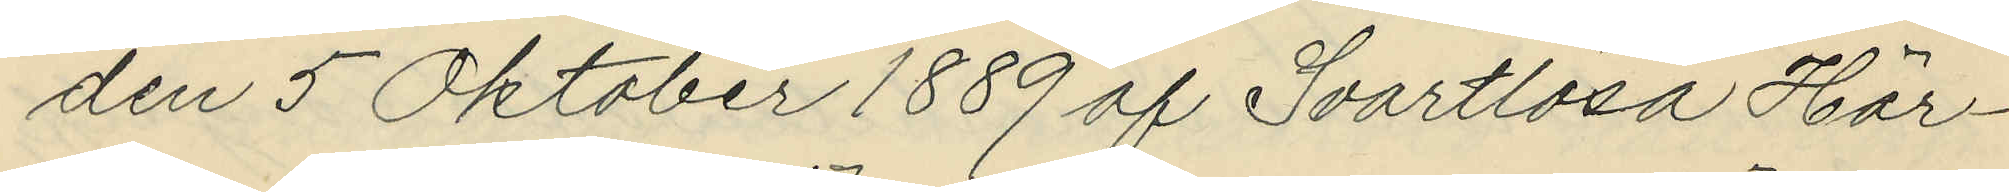den 5 Oktober 1889 af Svartlösa Här¬
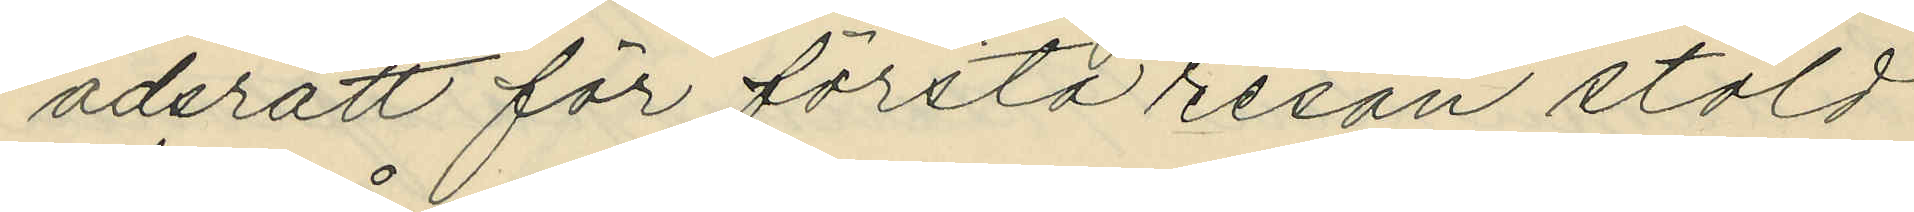adsrätt för första resan stöld
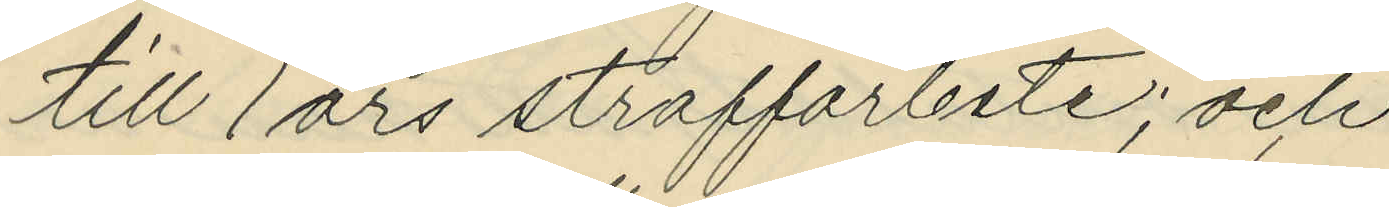till 1 års straffarbete; och
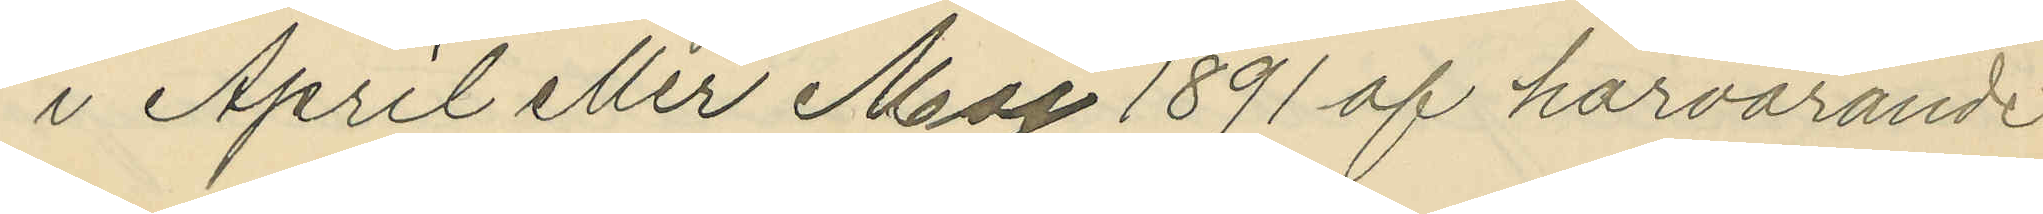i April eller Maj 1891 af härvarande
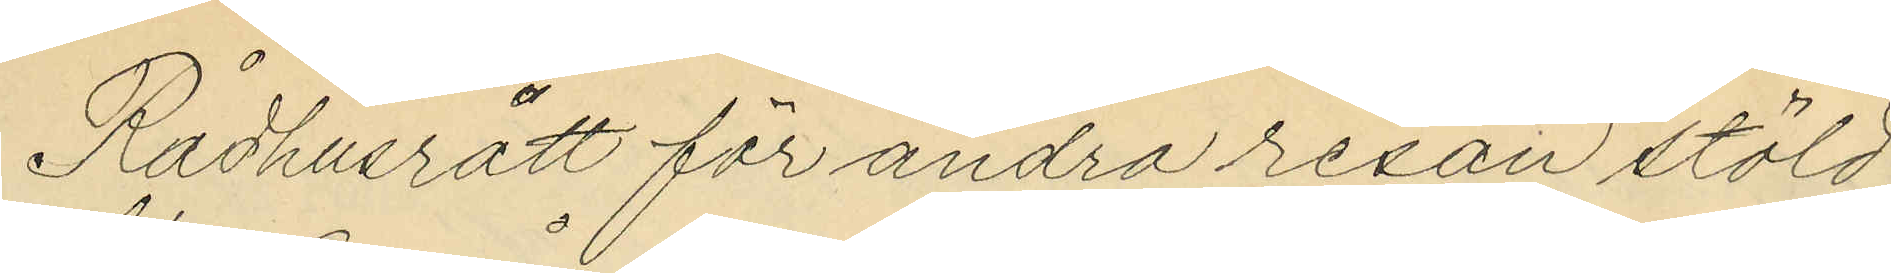Rådhusrätt för andra resan stöld
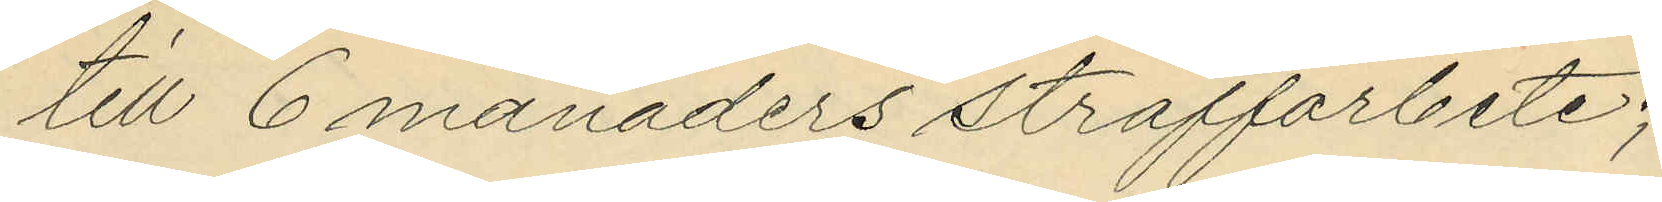till 6 månaders straffarbete;
